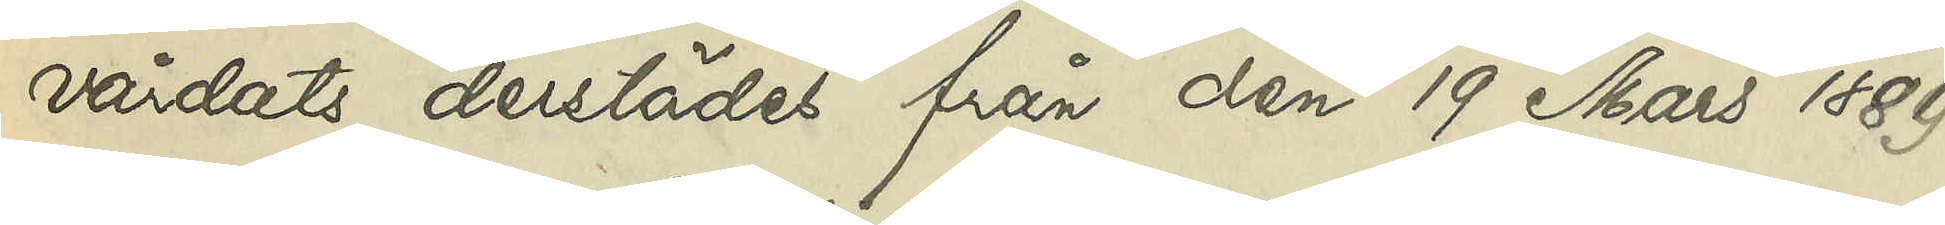vårdats derstädes från den 19 Mars 1889
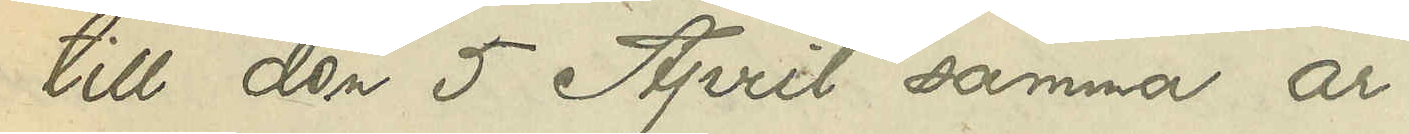till den 5 April samma år.
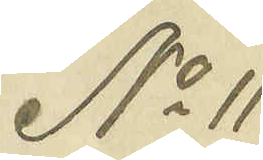No 11
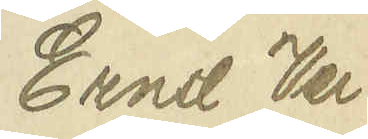Ernst Ver¬
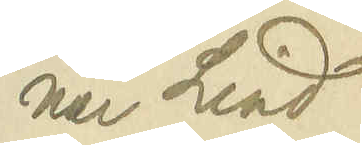ner Lind¬
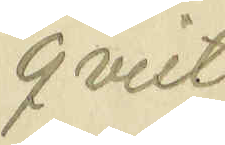qvist
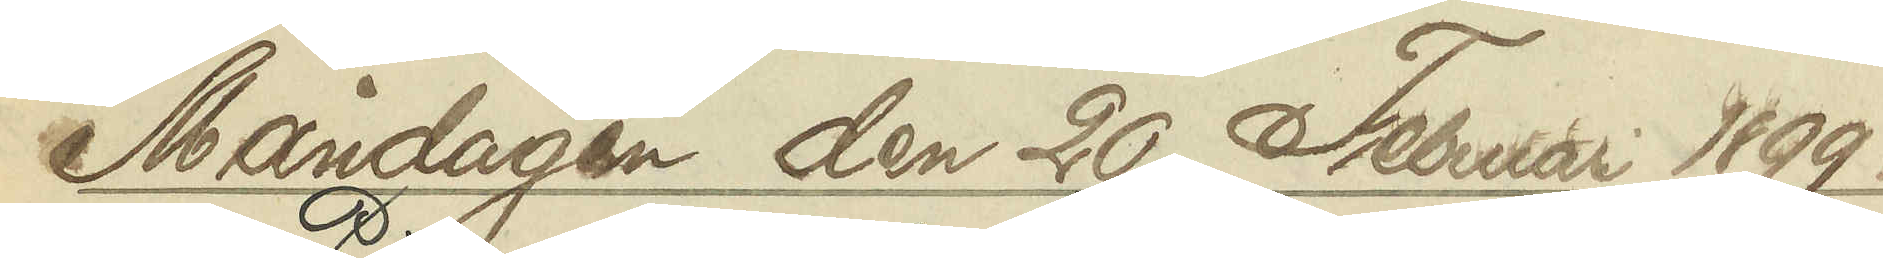Måndagen den 20 Februari 1899.
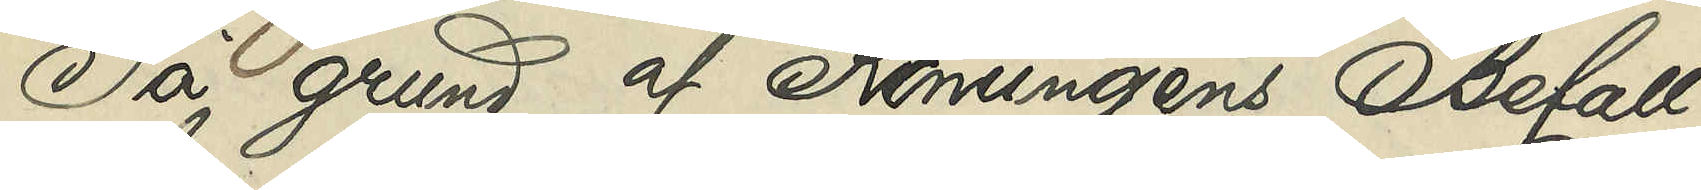På grund af Konungens Befall¬
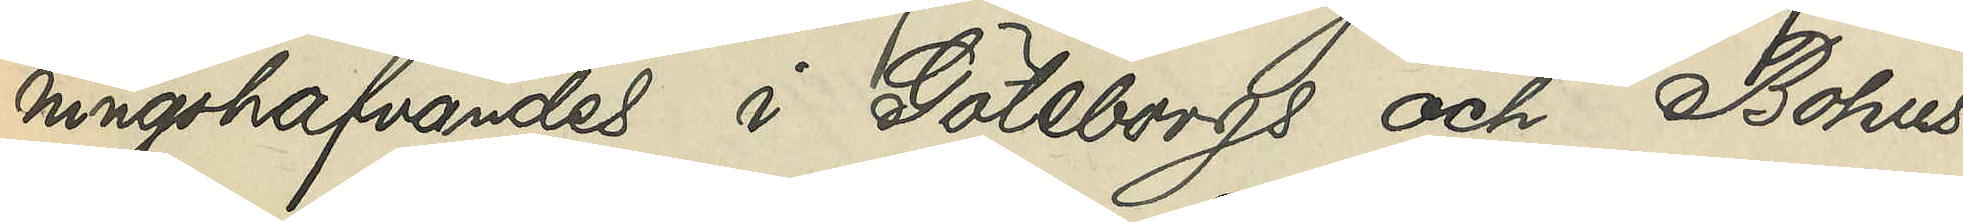ningshafvandes i Göteborgs och Bohus
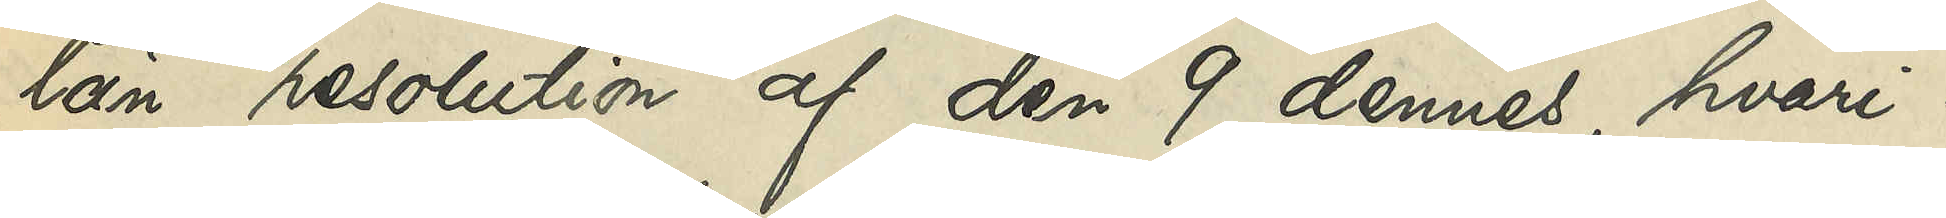län resolution af den 9 dennes, hvari¬
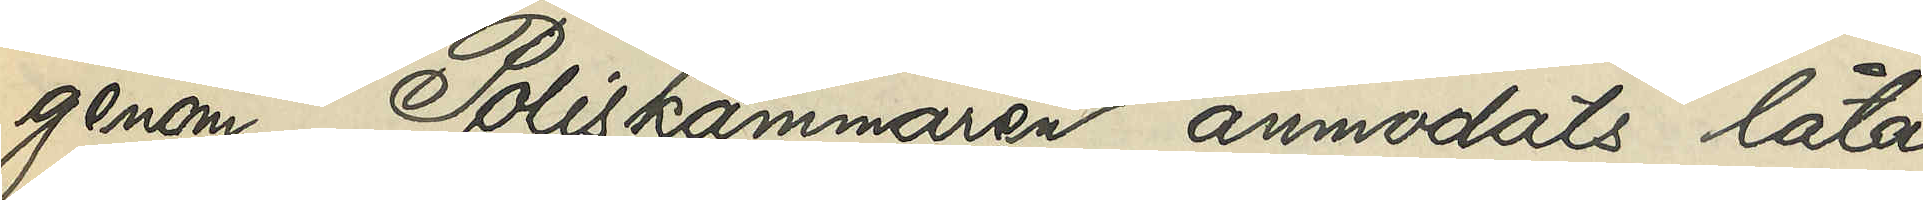genom Poliskammaren anmodats låta
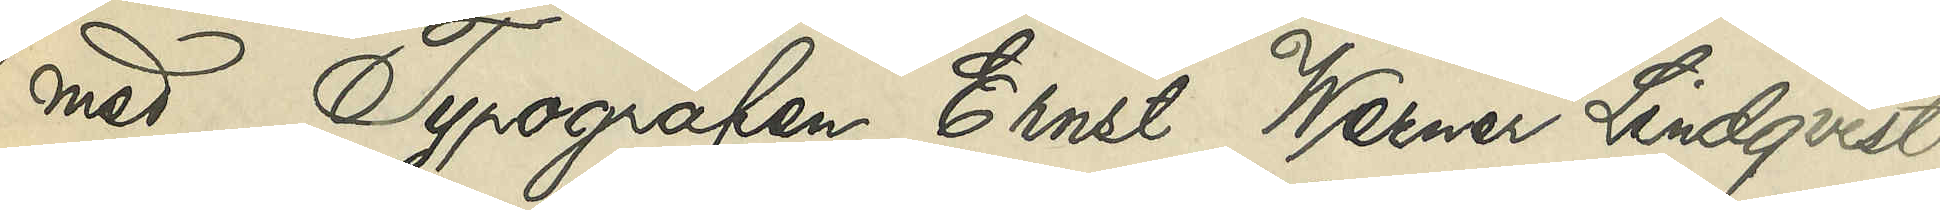med Typografen Ernst Werner Lindqvist
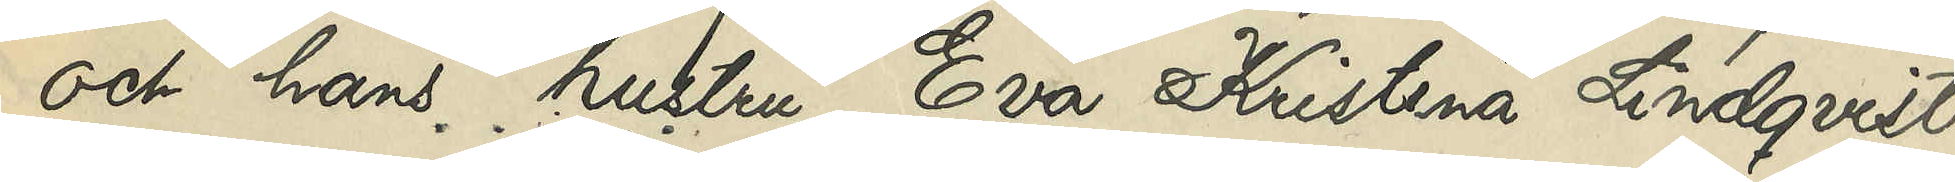och hans hustru Eva Kristina Lindqvist
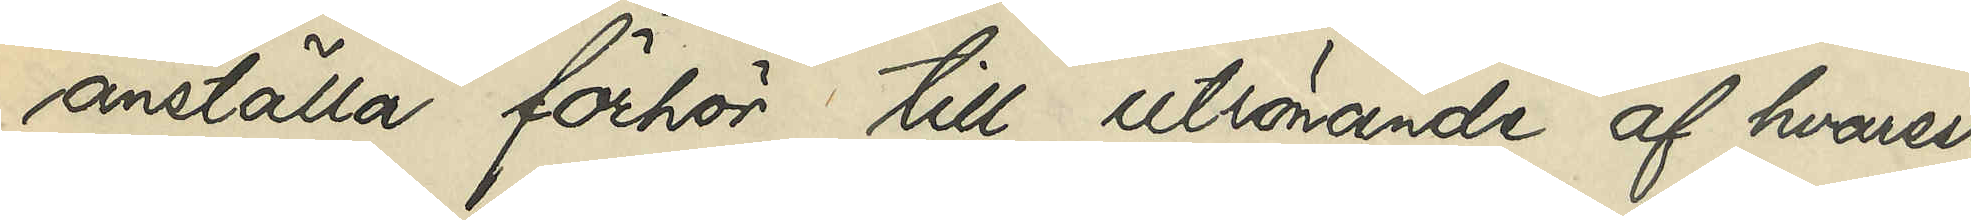anställa förhör till utrönande af hvarest
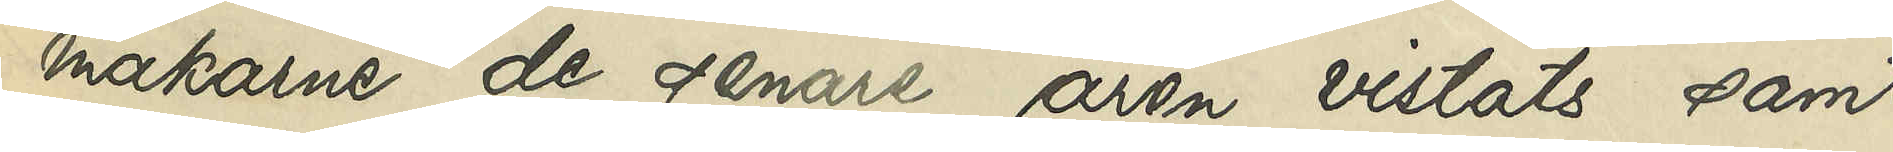makarne de senare åren vistats samt
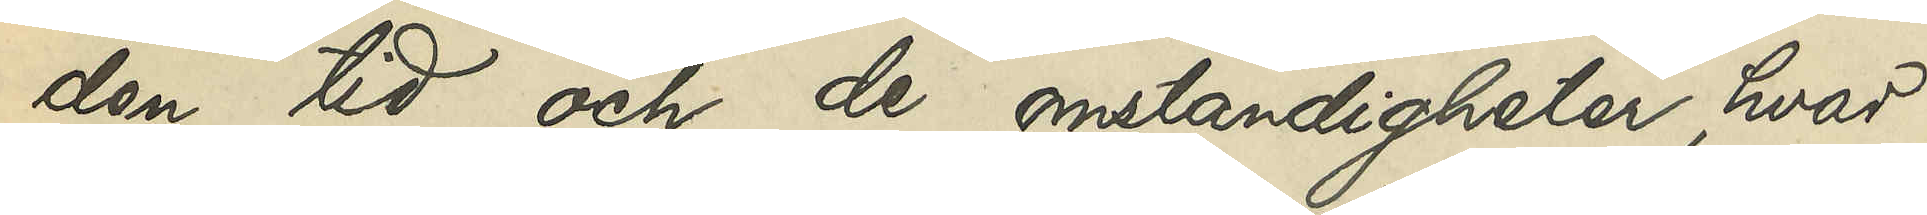den tid och de omständigheter, hvar¬
